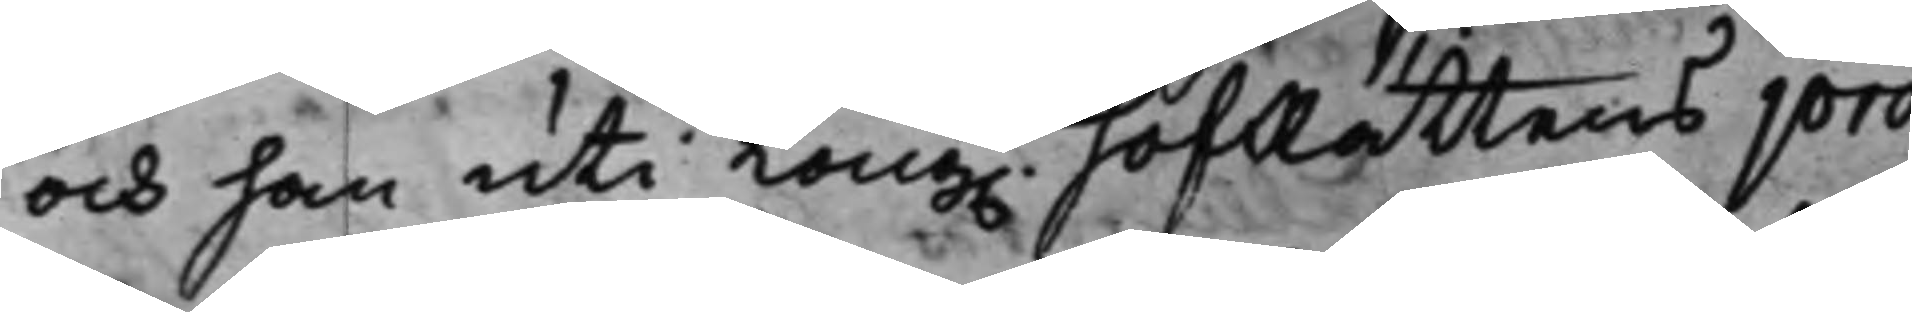och han uti Kong. HofRättens pro¬
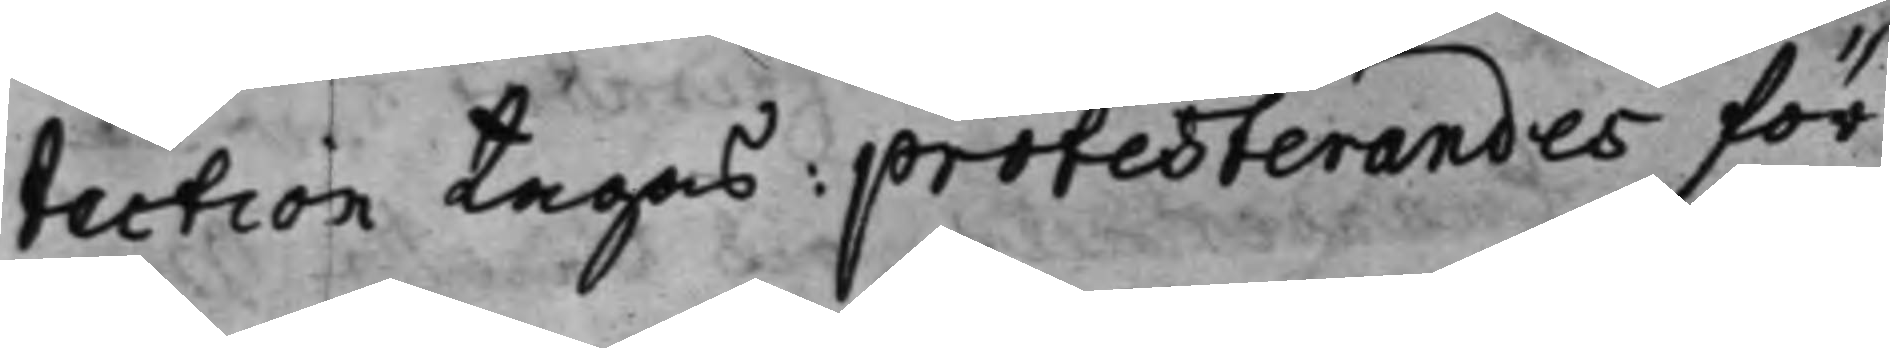tection tagas: protesterandes för
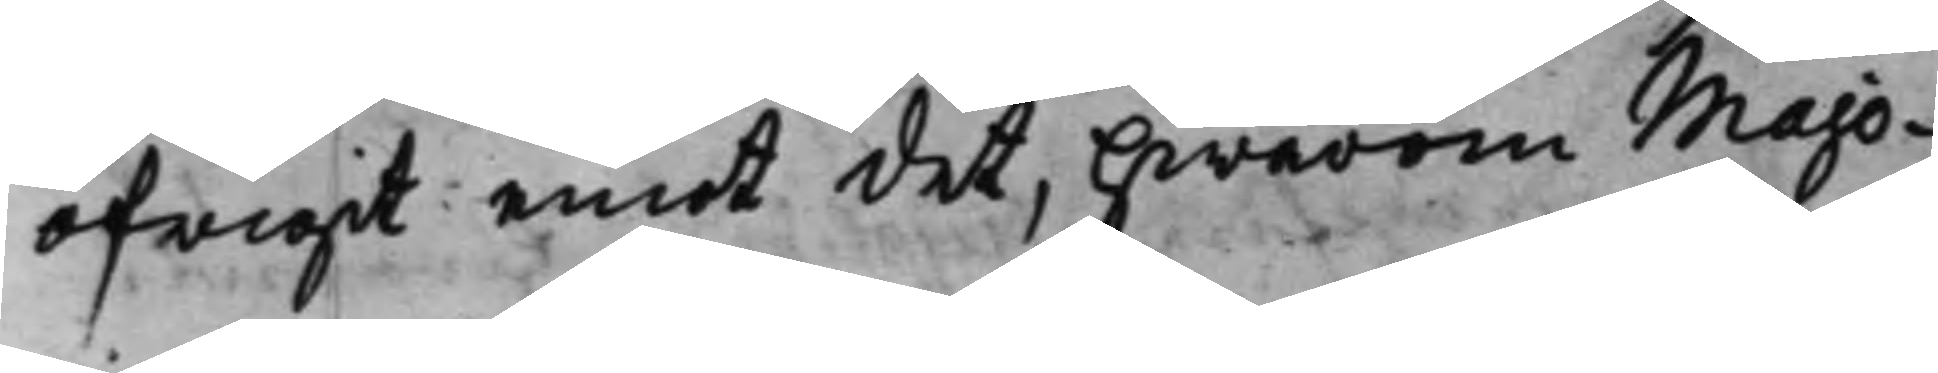öfrigit emot det, hwarom Majo¬
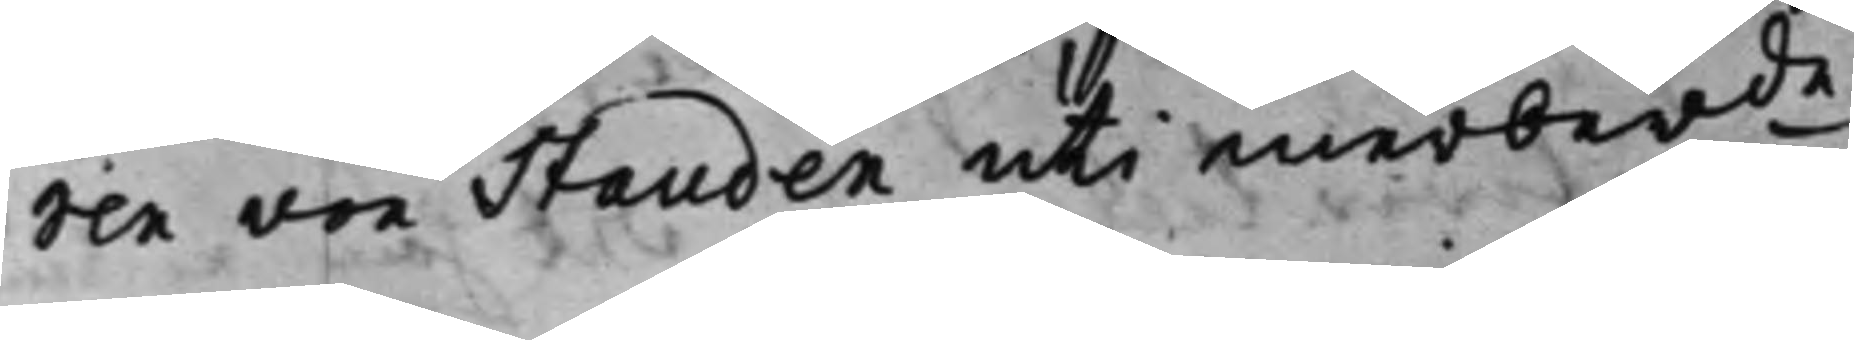ren von Stauden uti merberde
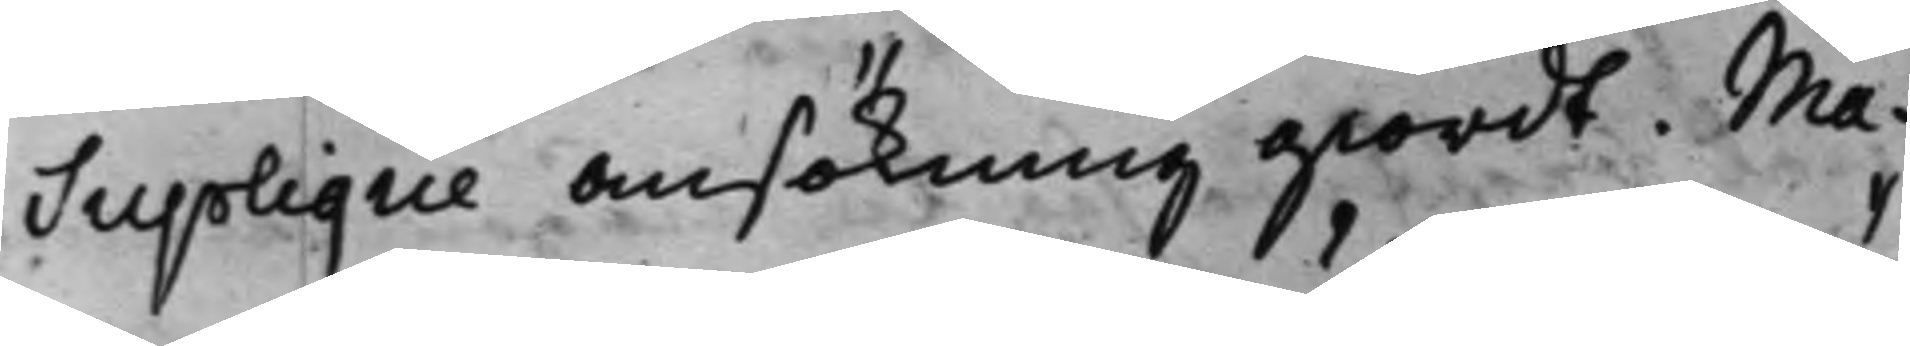Suplique Ansökning giordt. Ma¬
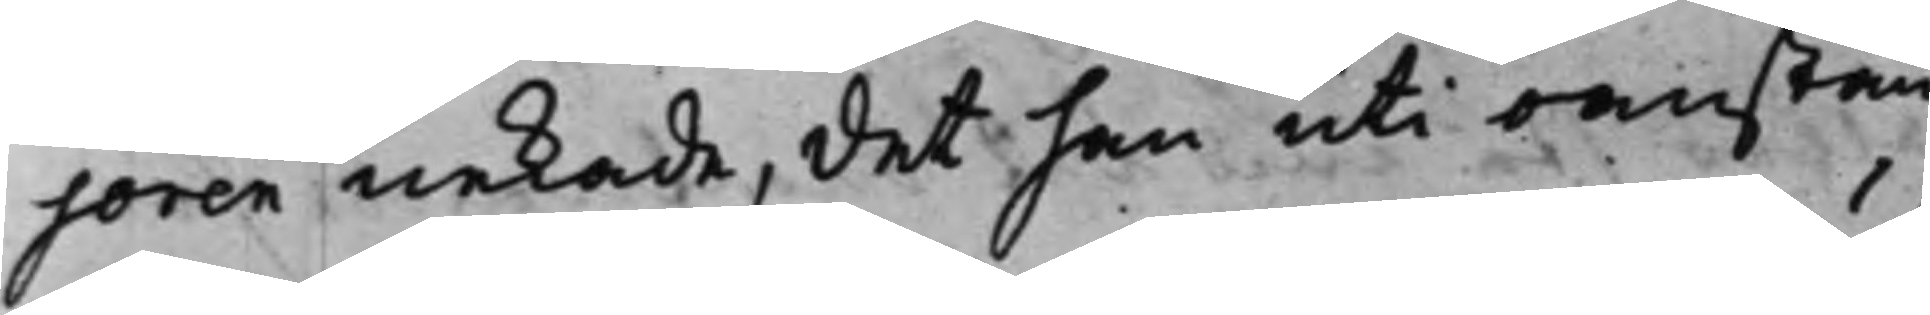joren nekade, det han uti oanstän¬
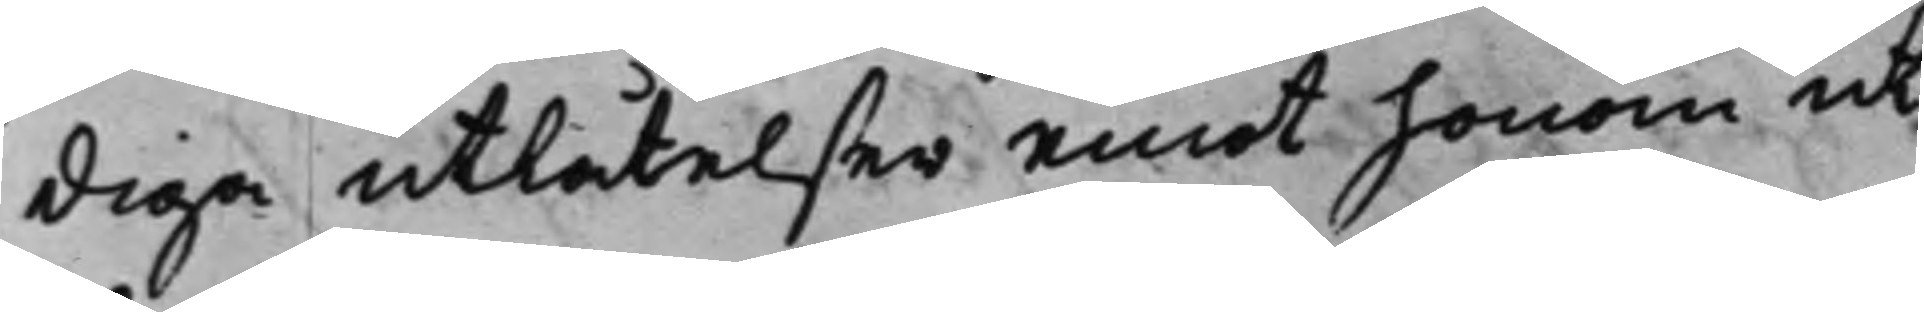diga utlåtelser emot honom ut¬
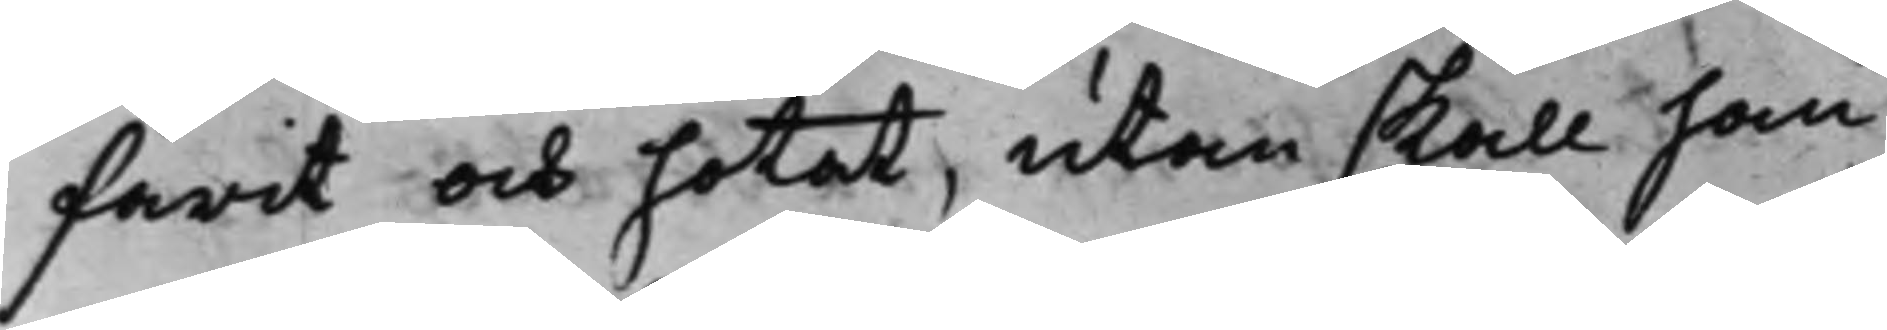farit och hotat, utan skall han
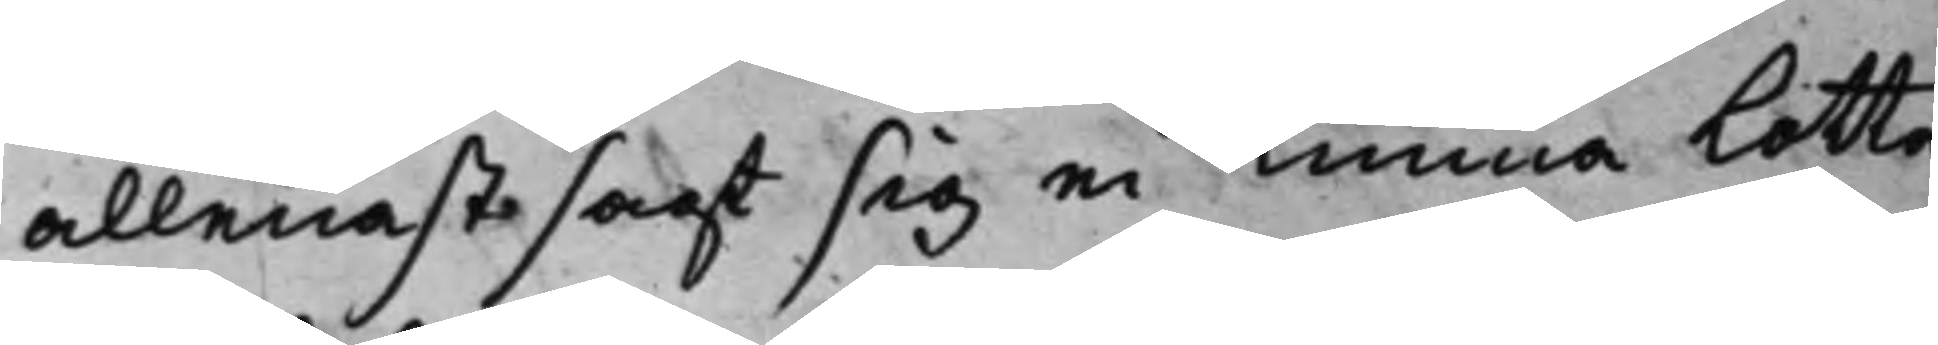allenast sagt sig ei Kunna Lotta
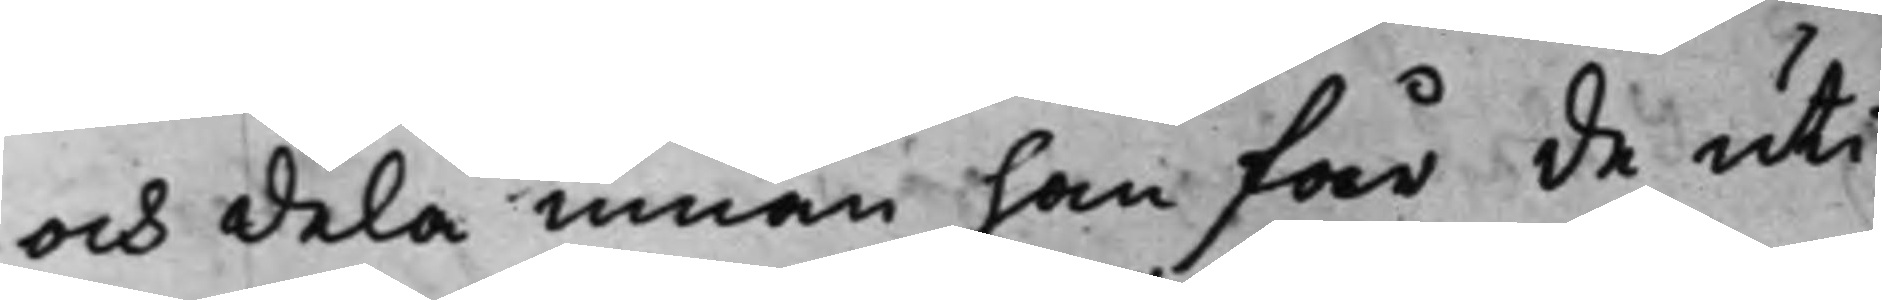och dela innan han får de uti
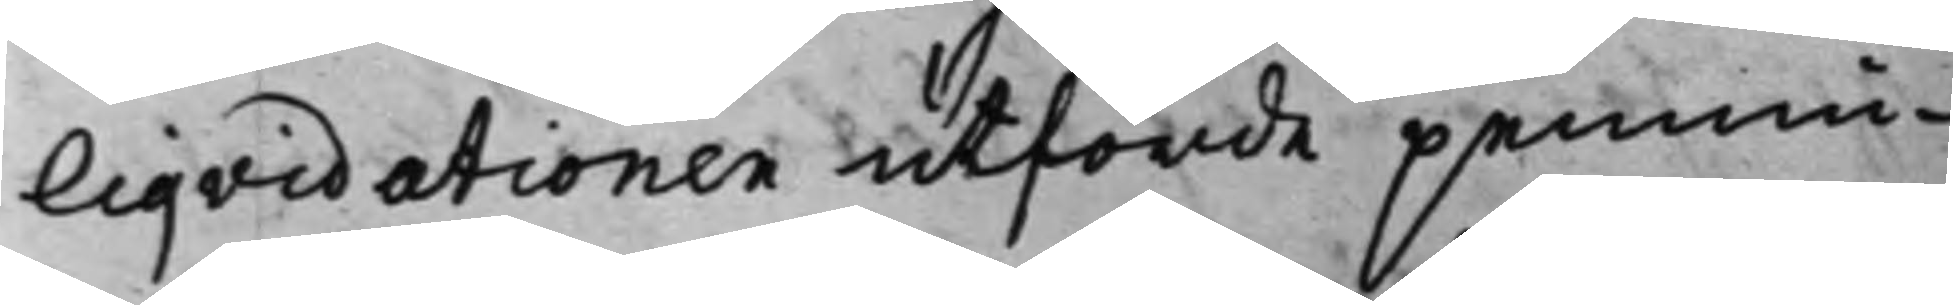Liqvidationen utförde pennin¬
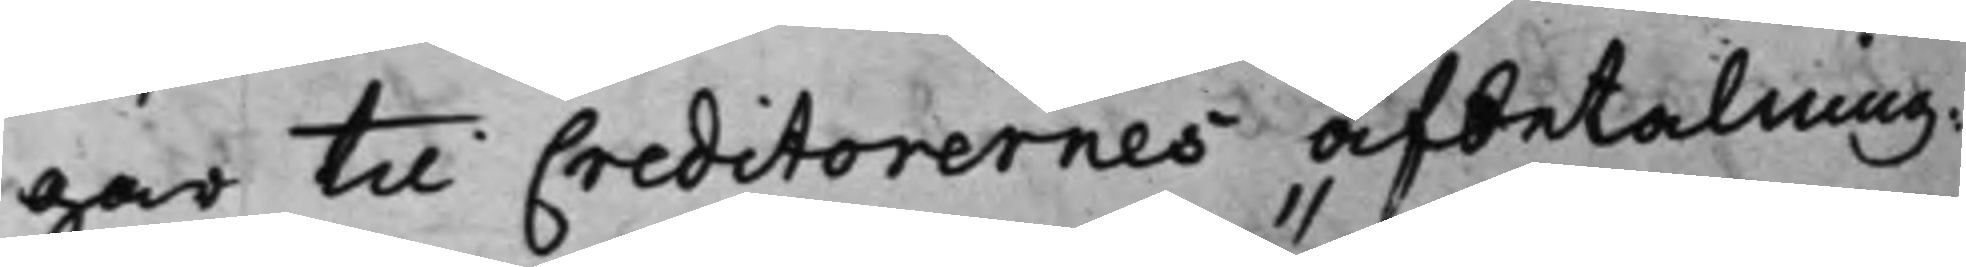gar til Creditorernes afbetalning:
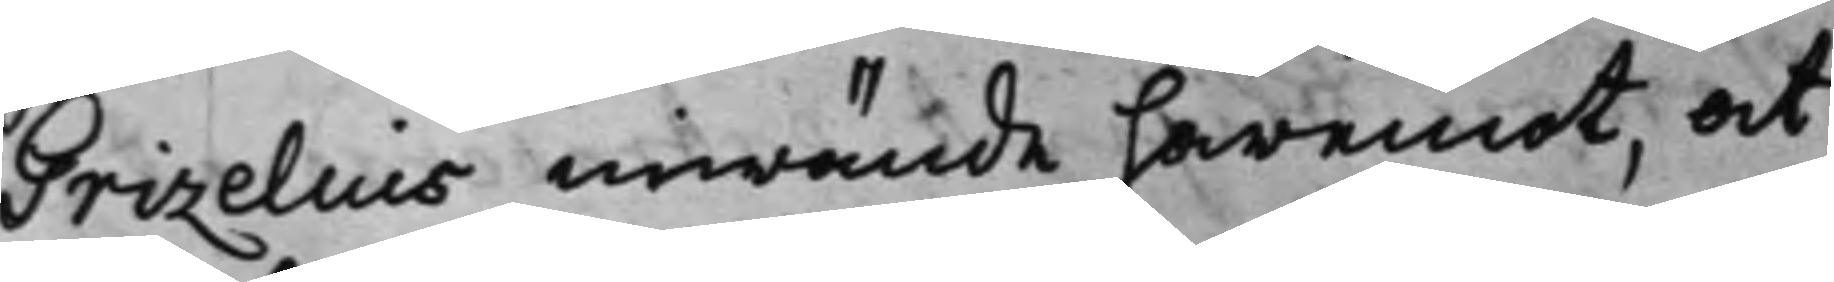Grizelius invände häremot, at
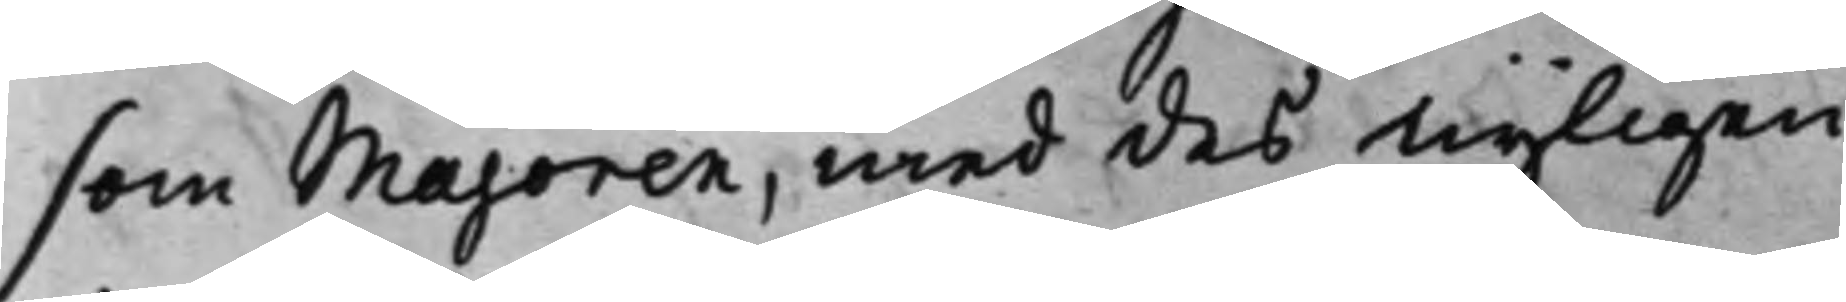som Majoren, med des nyligen
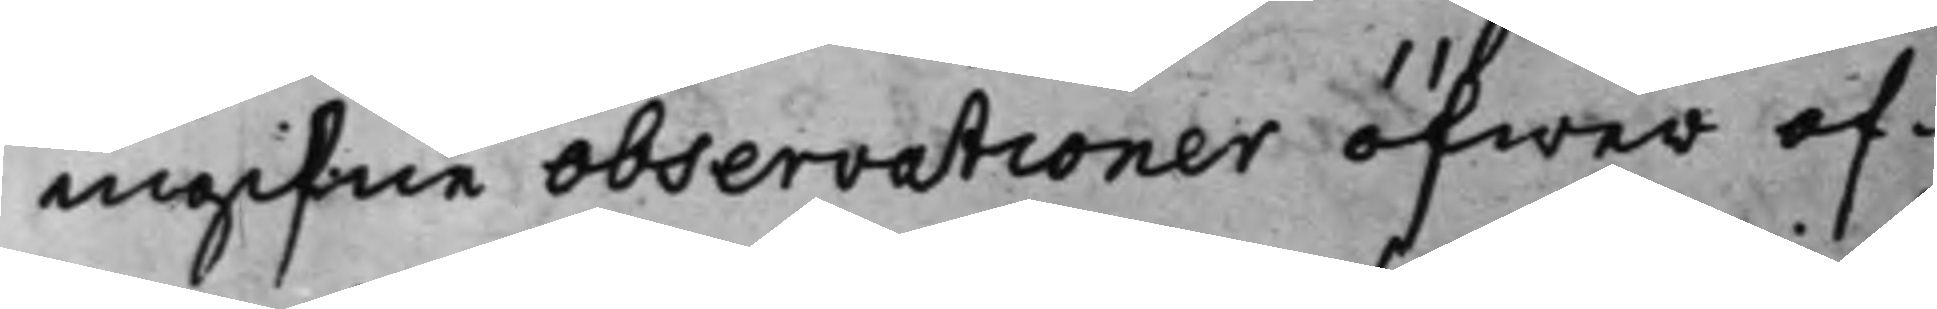ingifne Observationer öfwer of¬
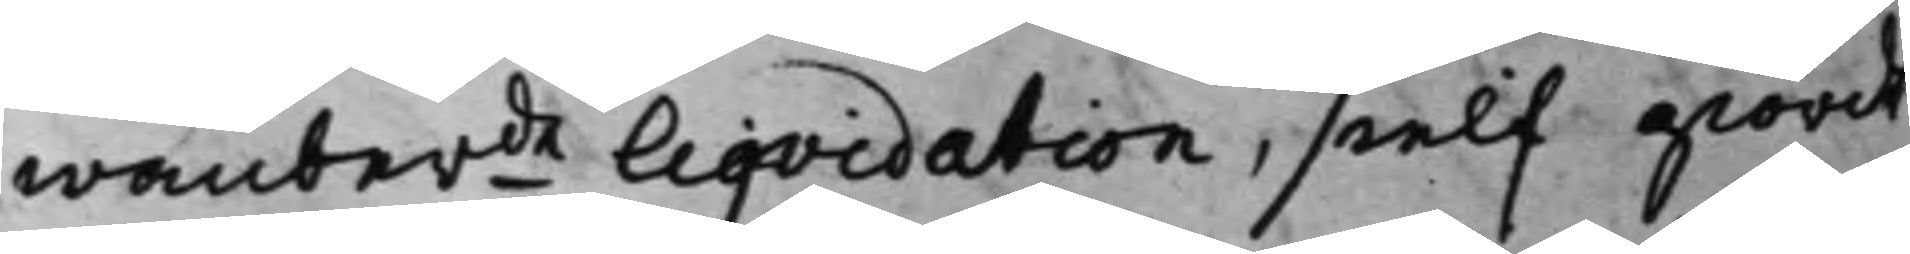wanberde Liqvidation, sielf giordt
